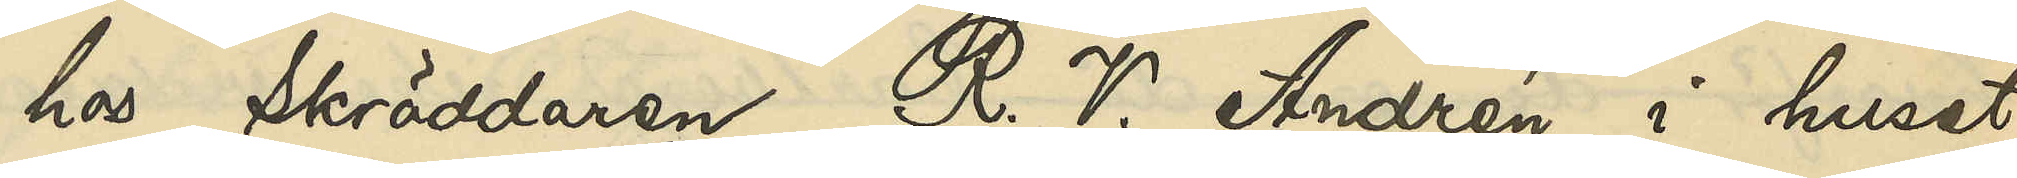hos Skräddaren R. V. Andrén i huset
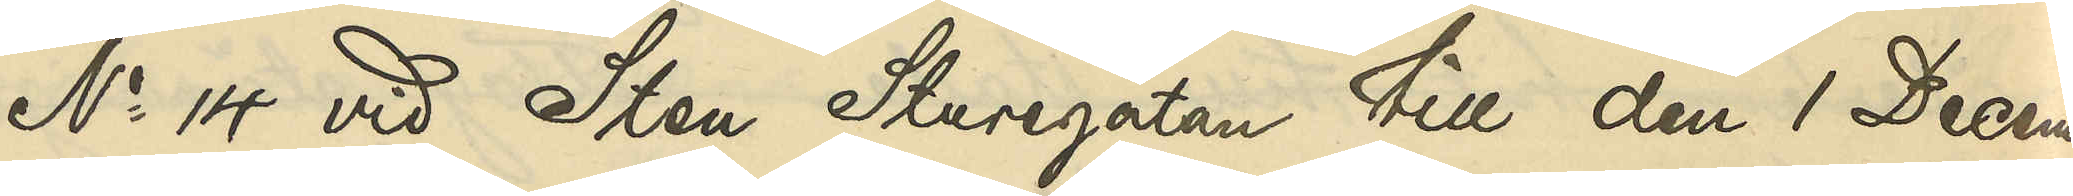No 14 vid Sten Sturegatan till den 1 Decem¬
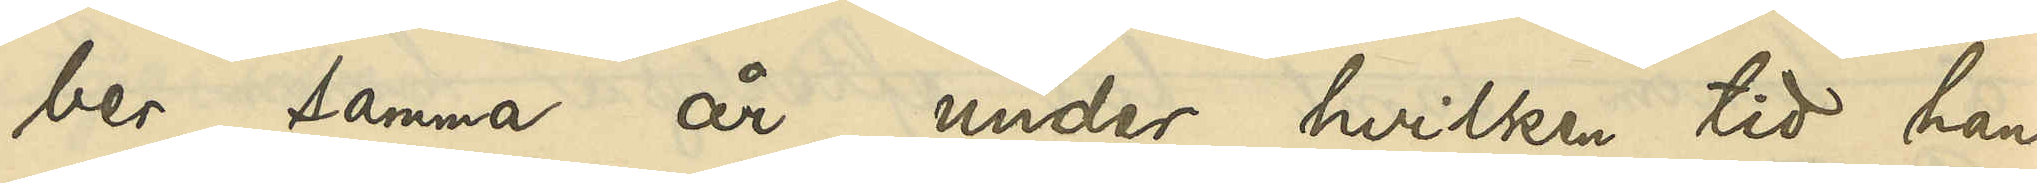ber samma år, under hvilken tid han
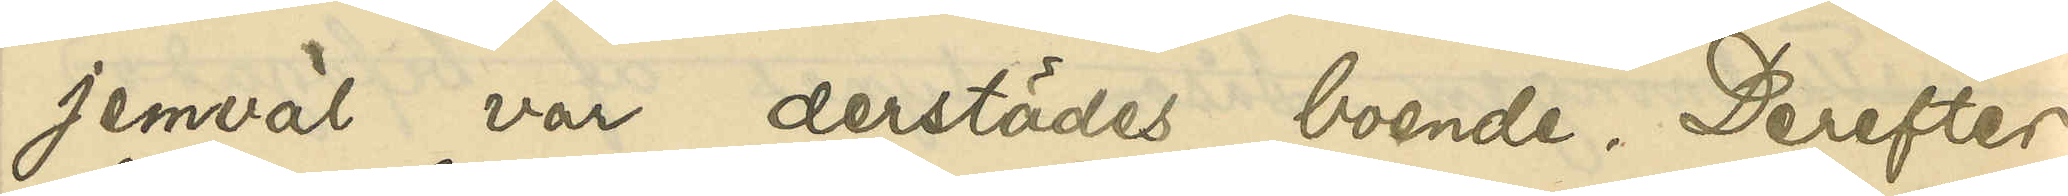jemväl var derstädes boende. Derefter
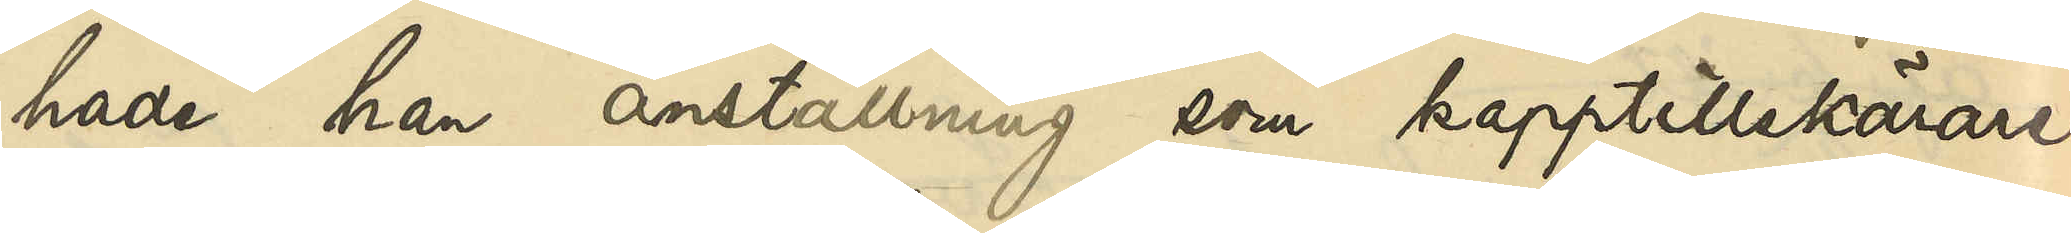hade han anställning som kapptillskärare
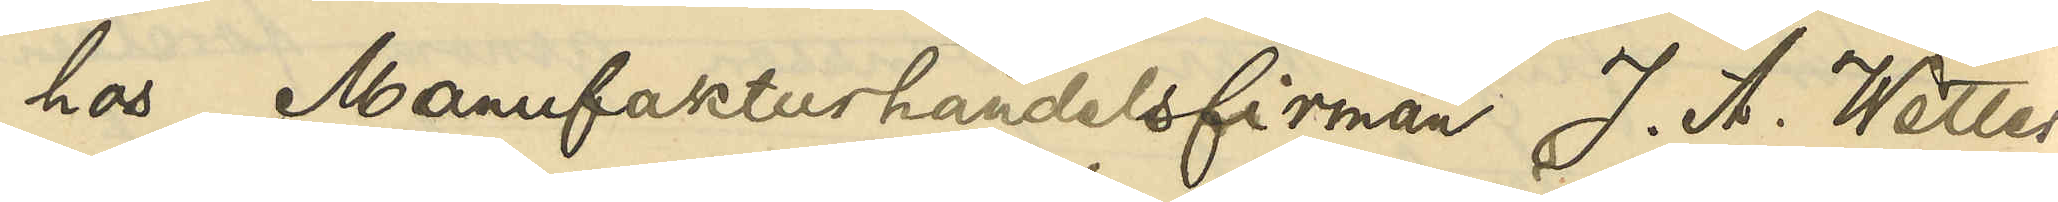hos Manufakturhandelsfirman J. A. Wetter¬
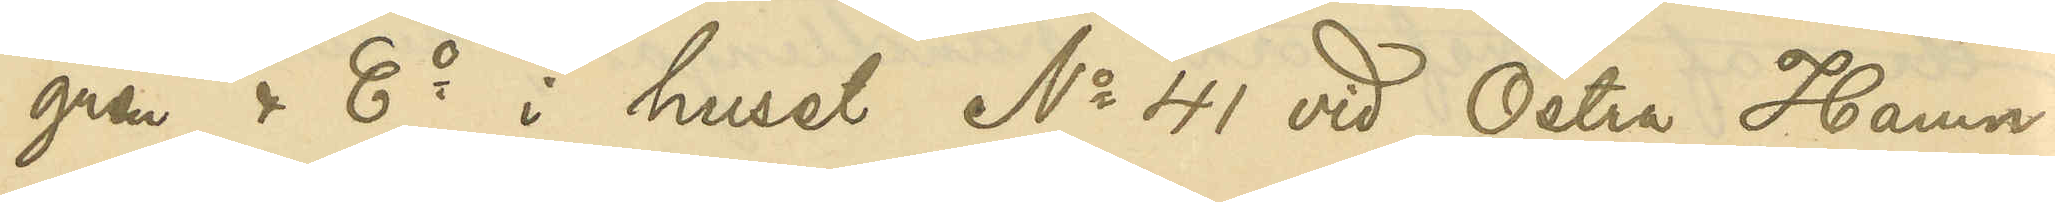gren & Co i huset No 41 vid Östra Hamn¬
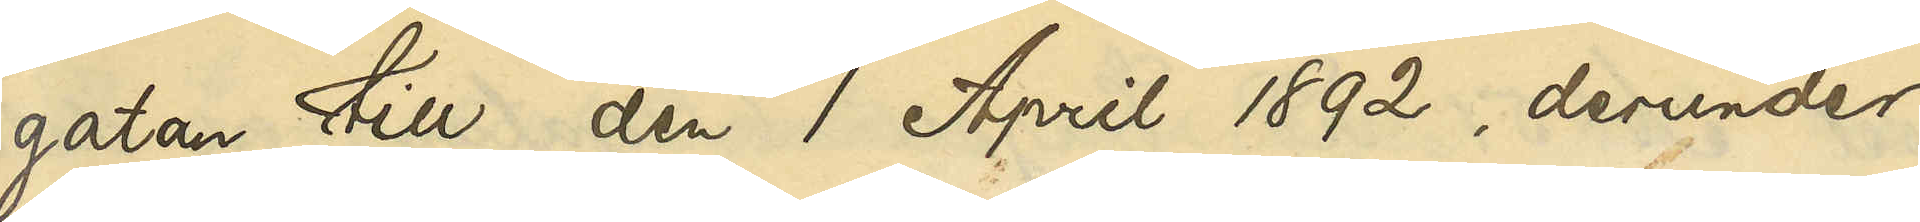gatan till den 1 April 1892, derunder
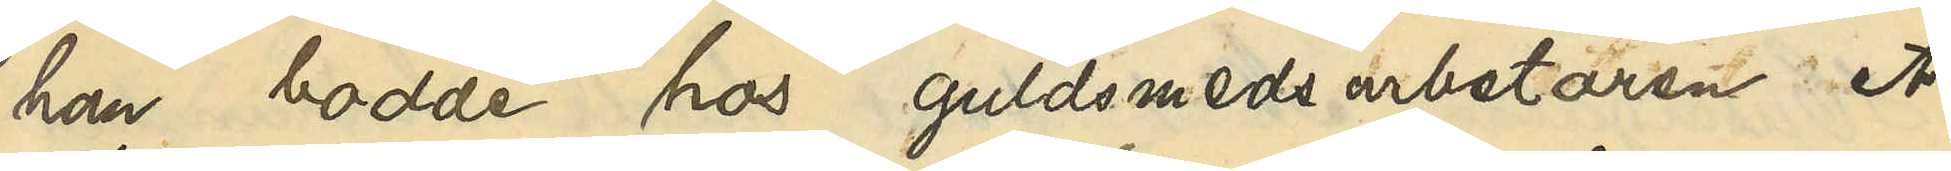han bodde hos guldsmedsarbetaren A.
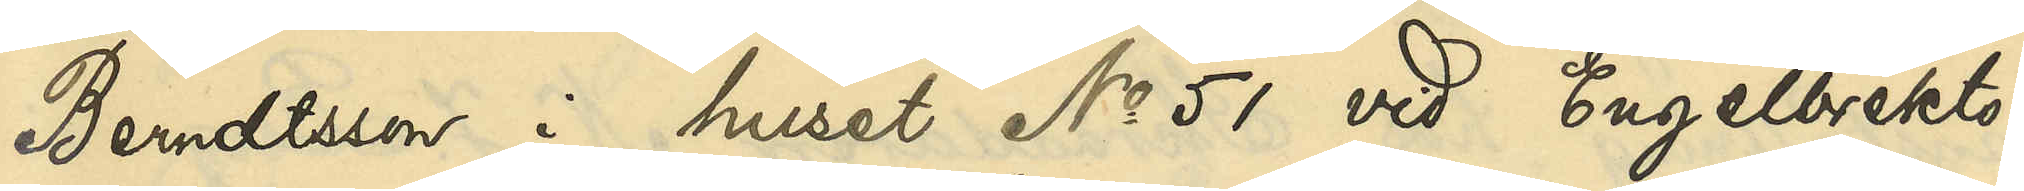Berndtsson i huset No 51 vid Engelbrekts¬
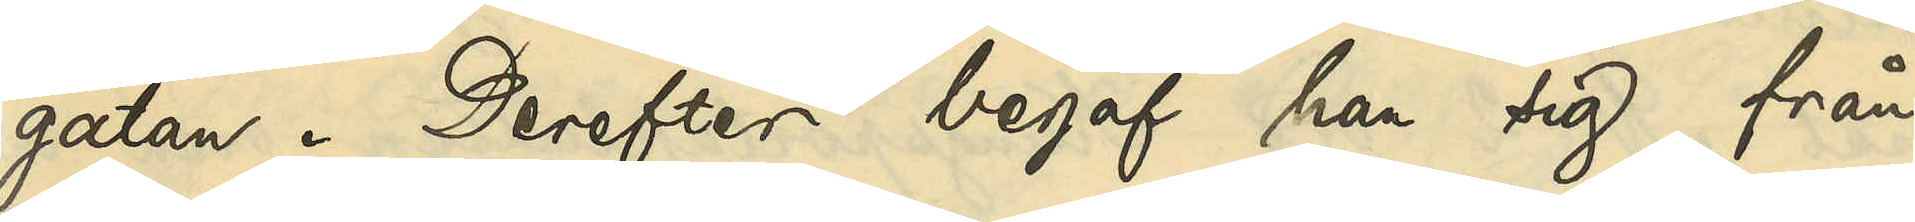gatan. Derefter begaf han sig från
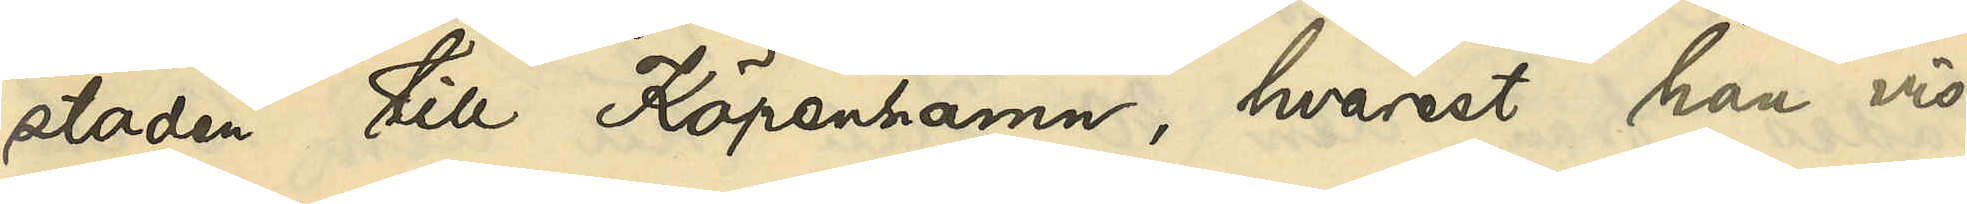staden till Köpenhamn, hvarest han vis¬
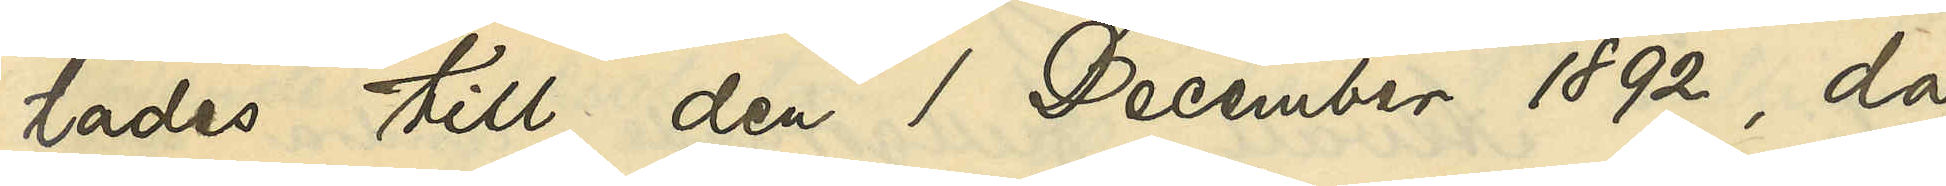tades till den 1 December 1892, då
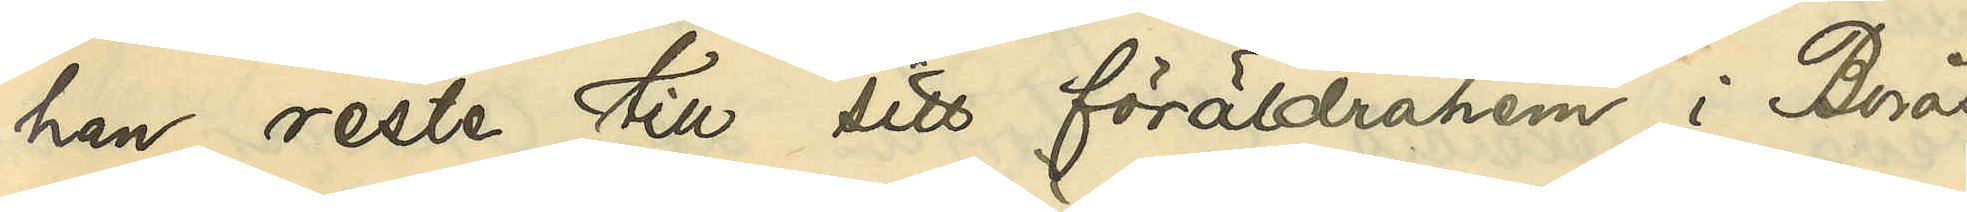han reste till sitt föräldrahem i Borås
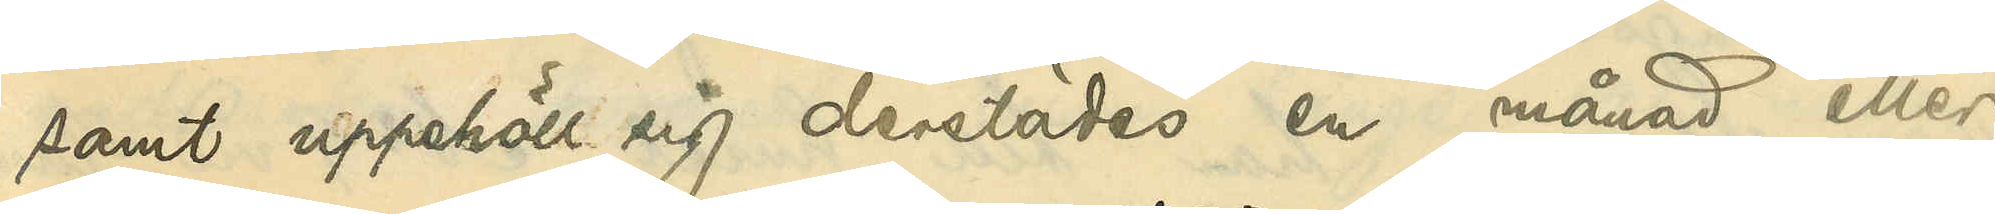samt uppehöll sig derstädes en månad eller
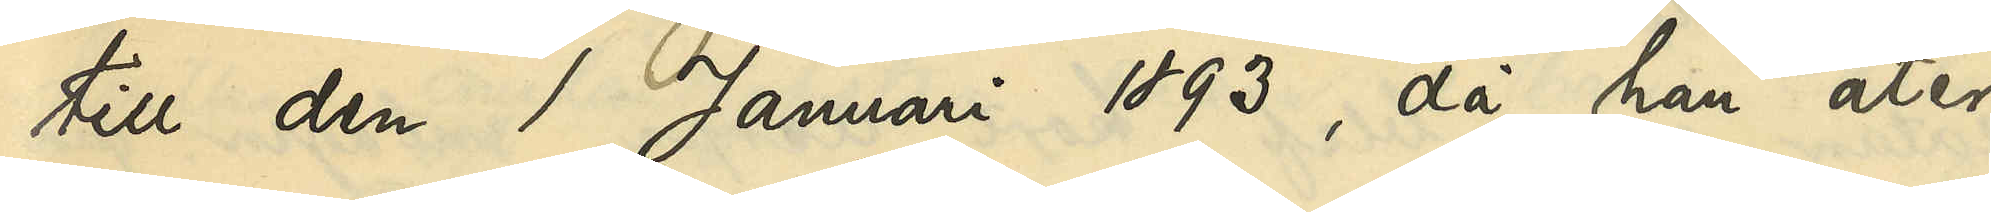till den 1 Januari 1893, då han åter
